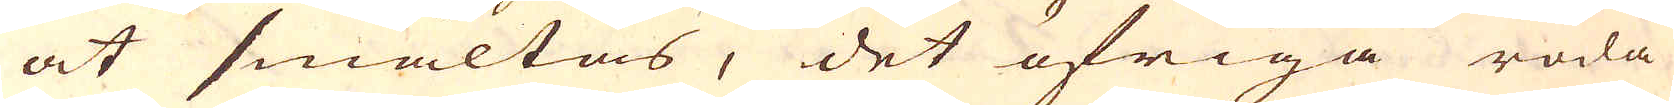at smältas, det öfriga röda
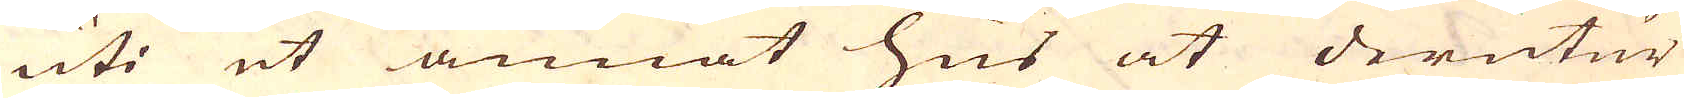uti et annat hus at derutur
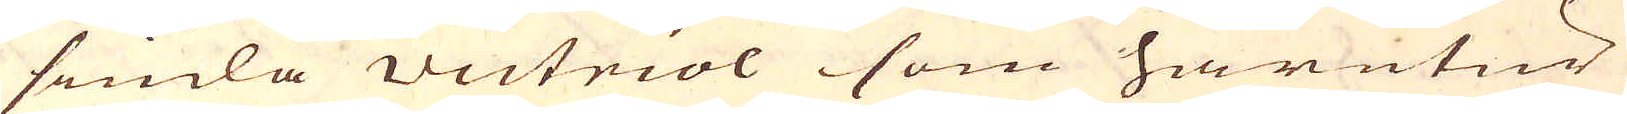siuda victriol som härutur
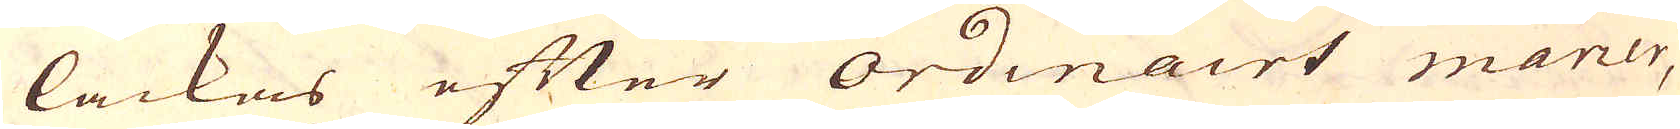lackas efter ordinairt maner,
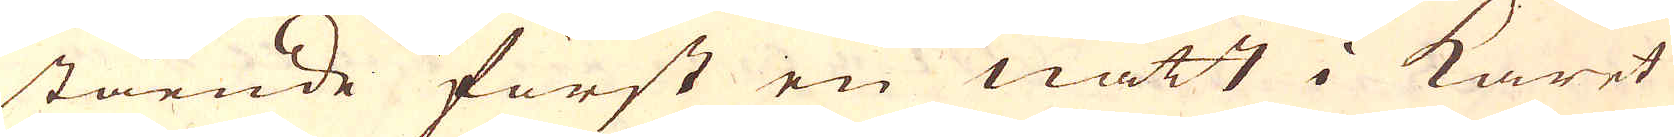stående först en natt i Karet
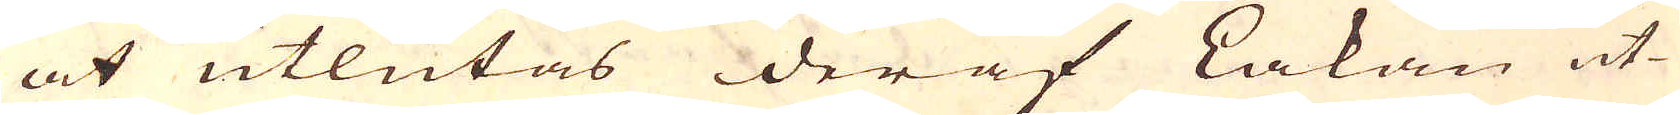at utlutas deraf Lakan ut-
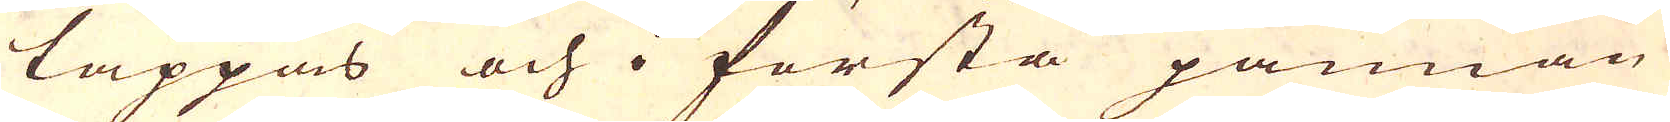tappas och i första pannan
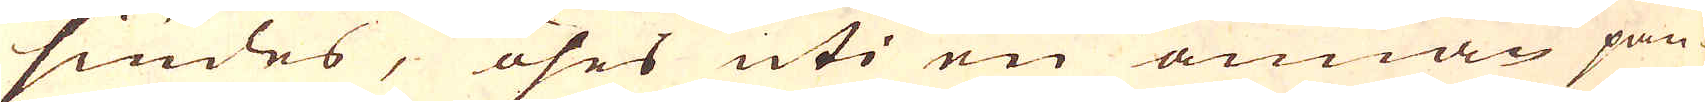siudes, öses uti en annan pan-
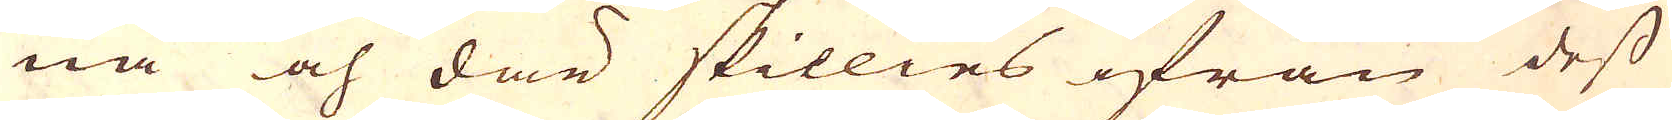na och där skillies ifrån dess
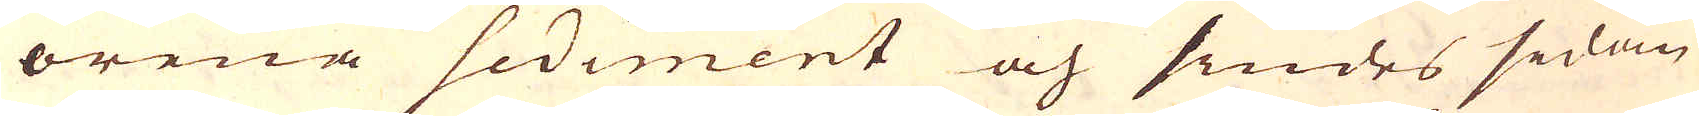orena sediment och siudes sedan
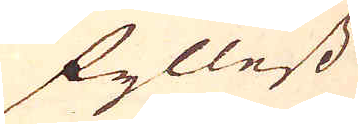fyllest
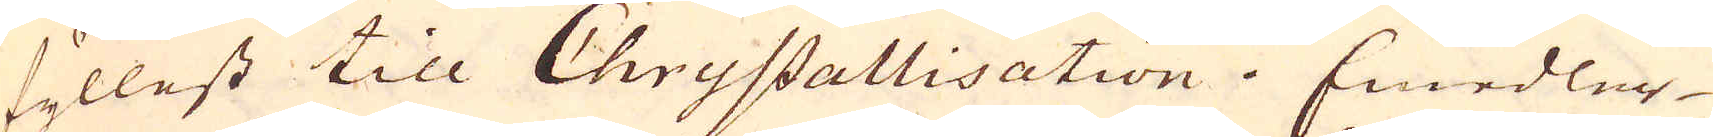fyllest till Chrystallisation. Emedler-
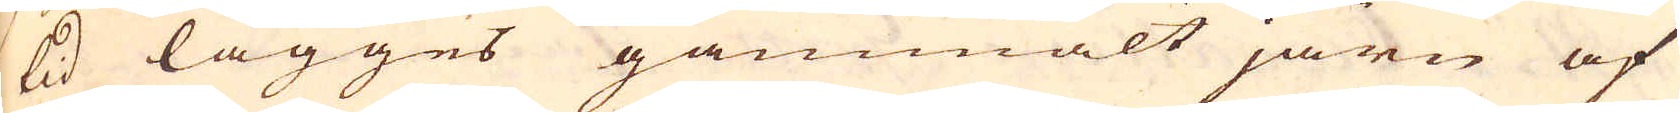tid lägges gammalt järn af
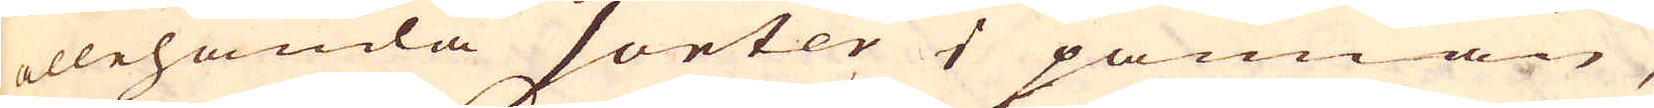allehanda sorter i pannan,
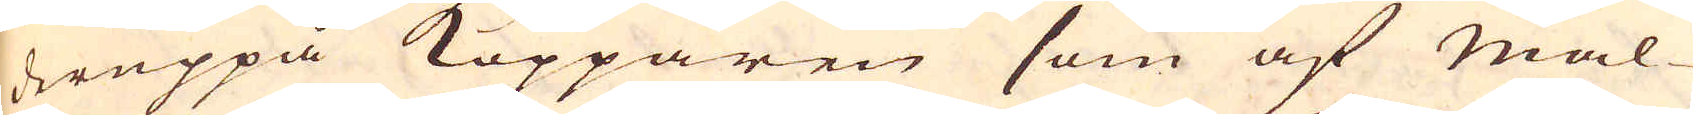deruppå Kopparen som af Mal-
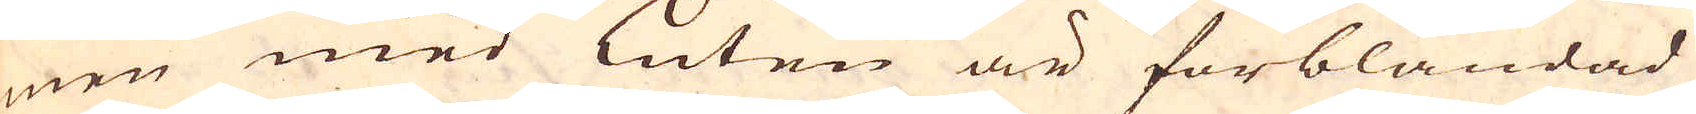men med Luten är förblandad
